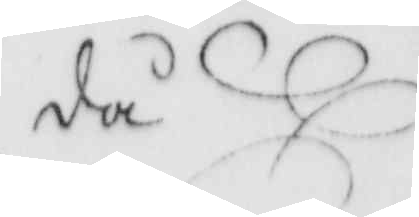då
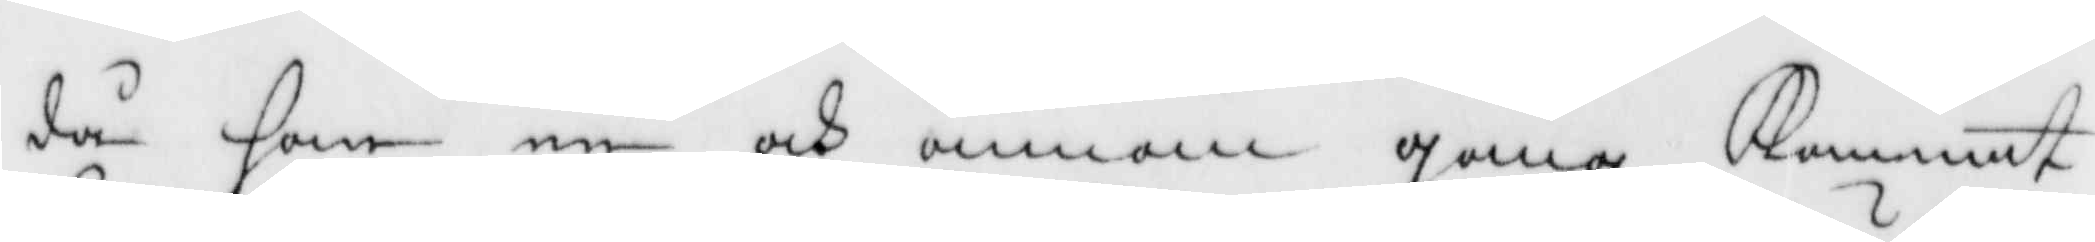då han en och annan gång Kommit
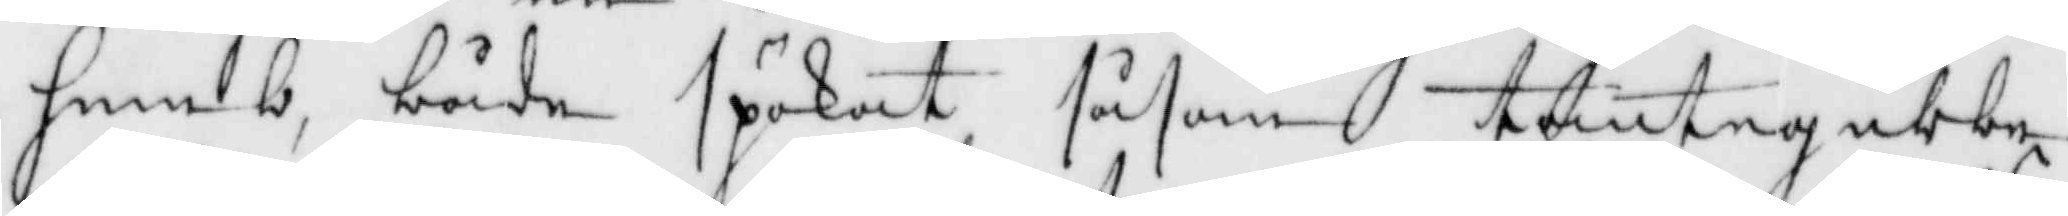hemb, både späkat såsom tomtegubbe,
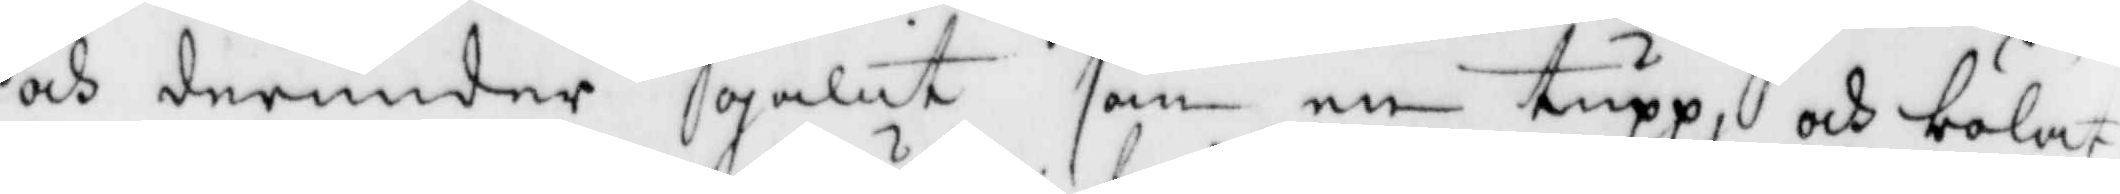och derunder galit som en tupp, och bölat
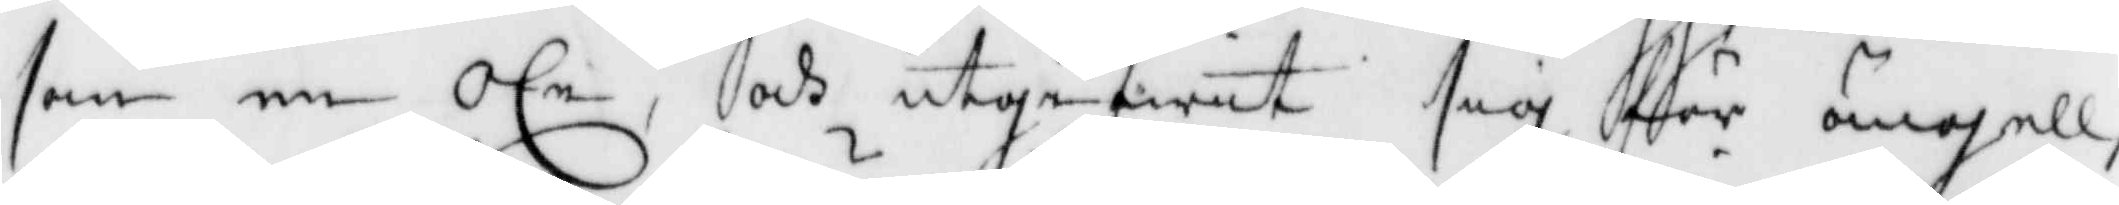som en oxe, och utgifwit sig för ängell,
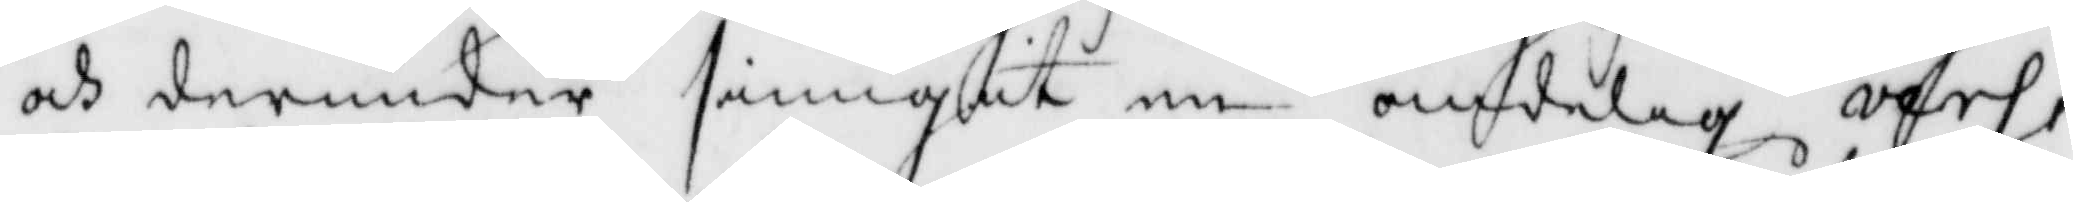och derunder siungit en andelig vers,
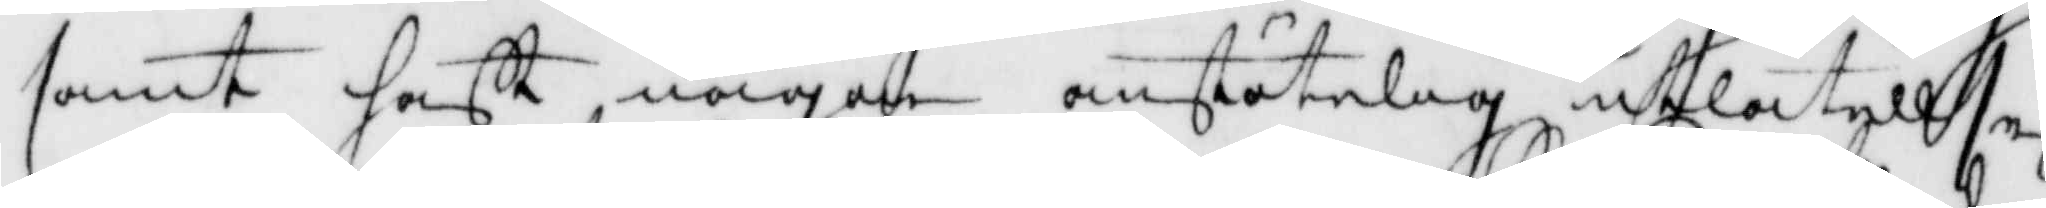samt hafft någon anstötelig utlåtekkse
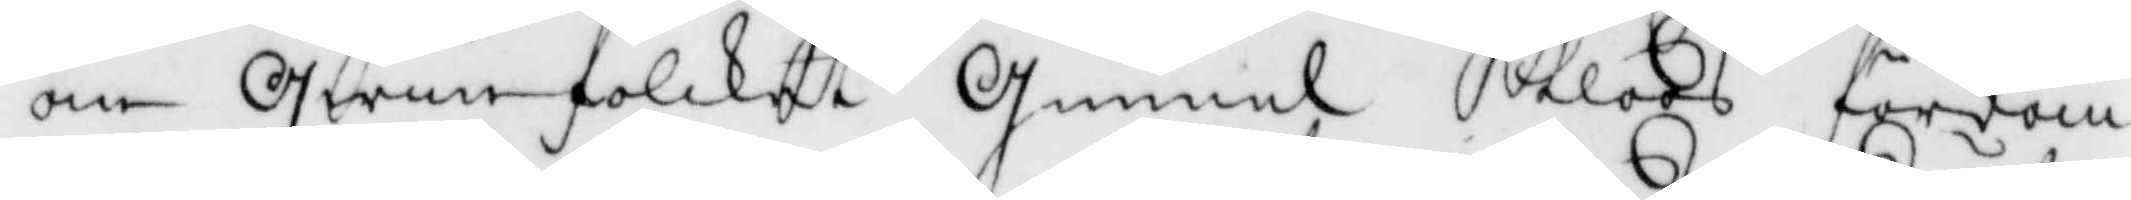om Qwinnfolcket Gunnel Kloos fördö¬
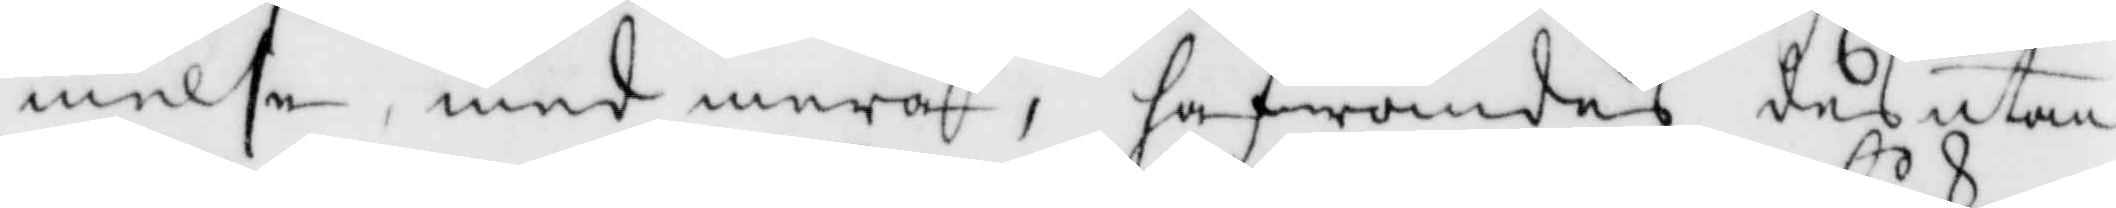melse, med mera, hafwandes des utan
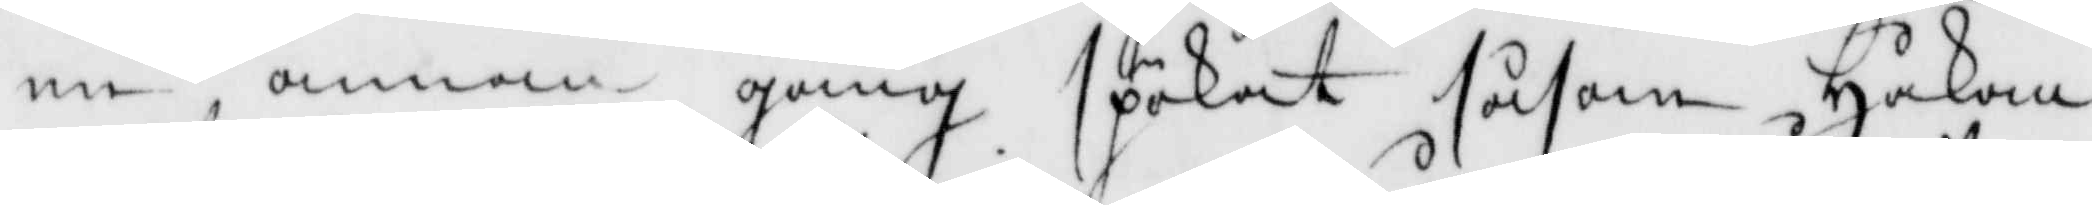en annan gång spökat såsom Håkan
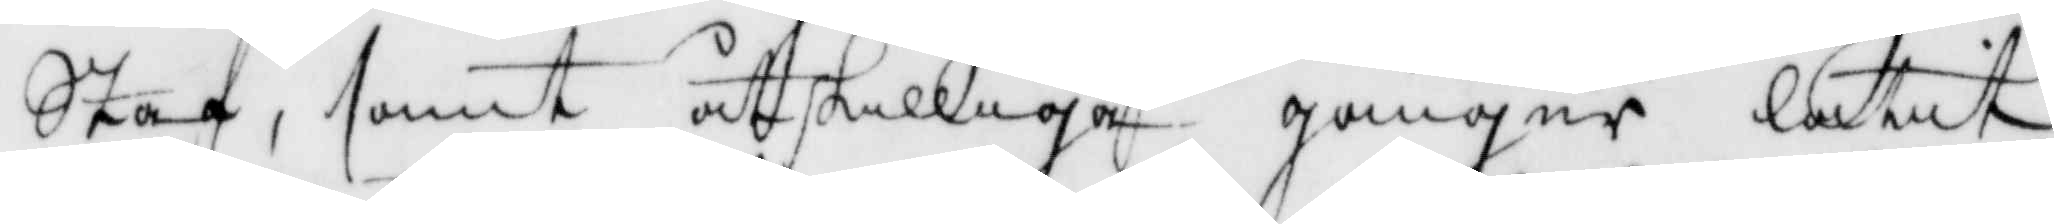Staf, samt åtskilliga gånger låtit
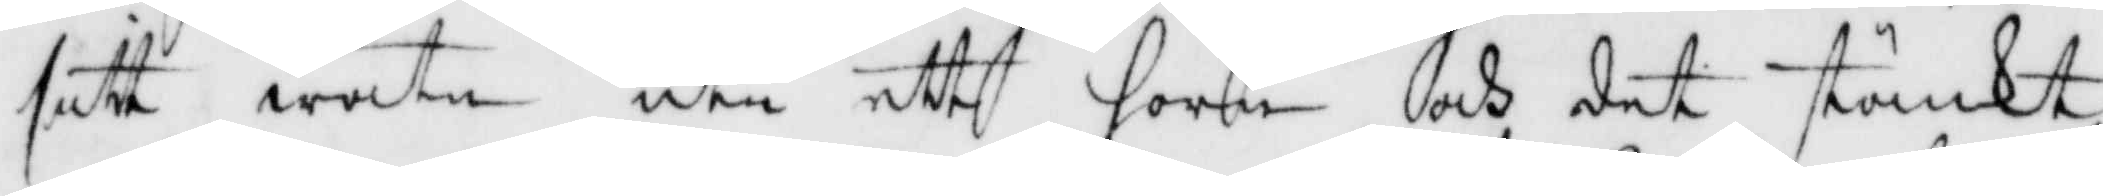sitt watn uti ett horn och det stänkt
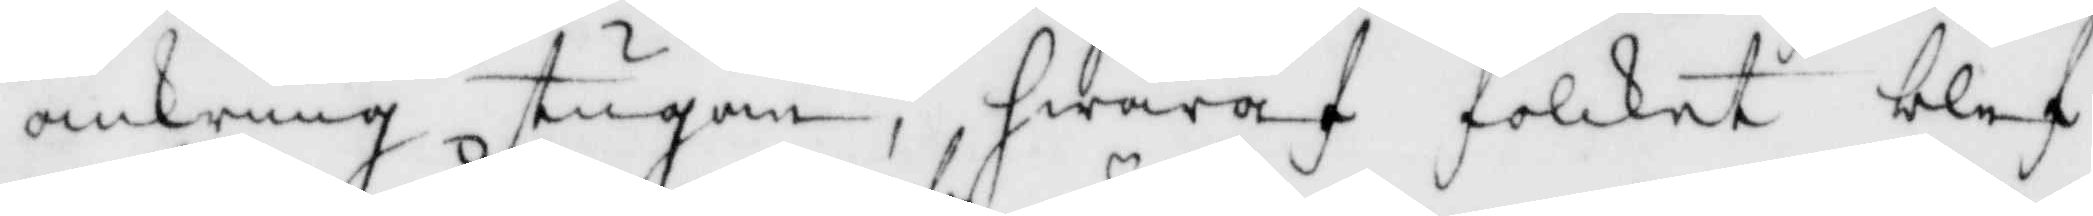omkring stugan, hwaraf folcket blef¬
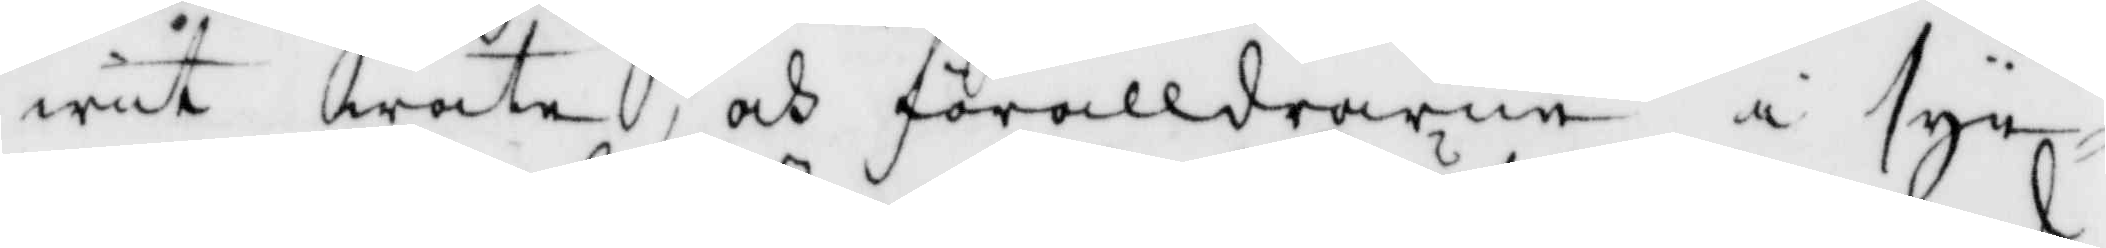wit wåta och förälldrarne i syn¬
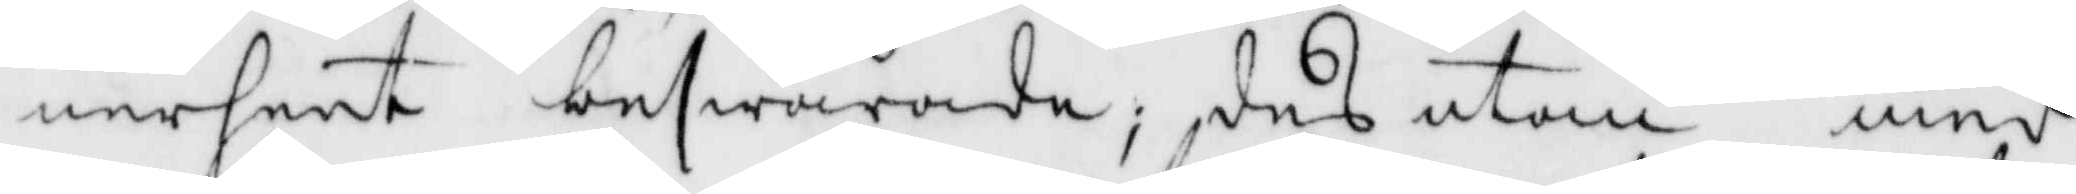nerheet beswärade; desutom med
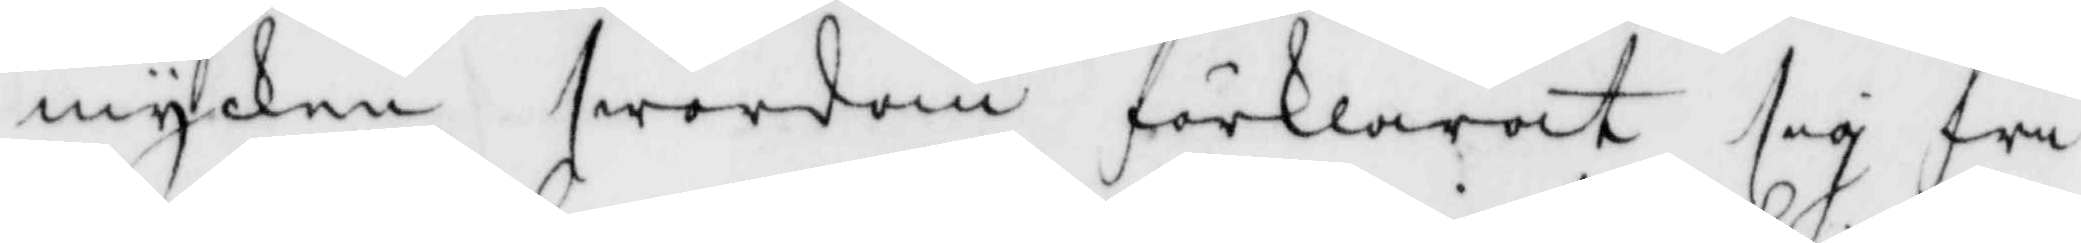mycken swordom förklarat sig fri
